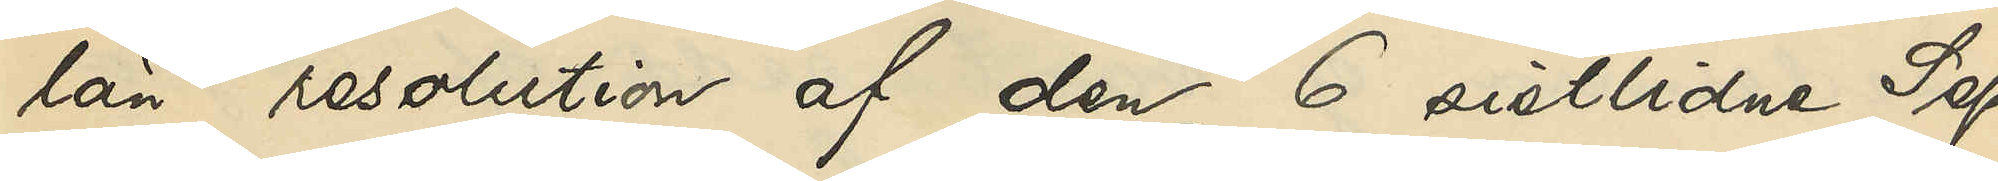län resolution af den 6 sistlidne Sep¬
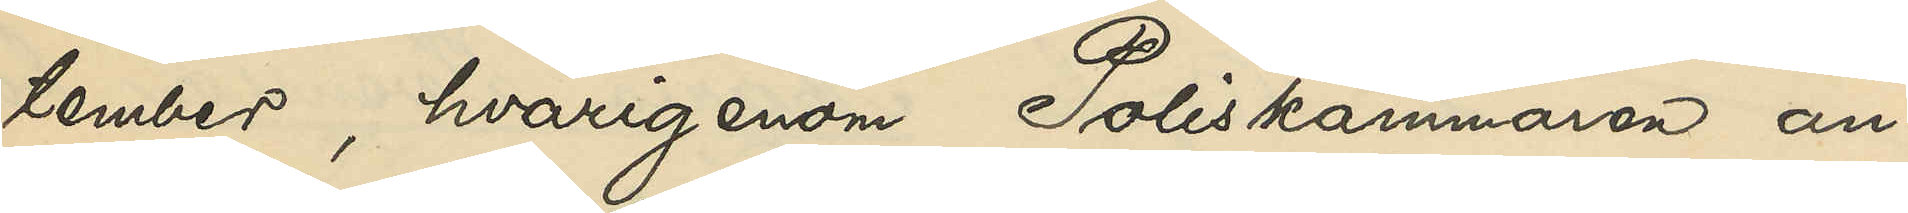tember, hvarigenom Poliskammaren an¬
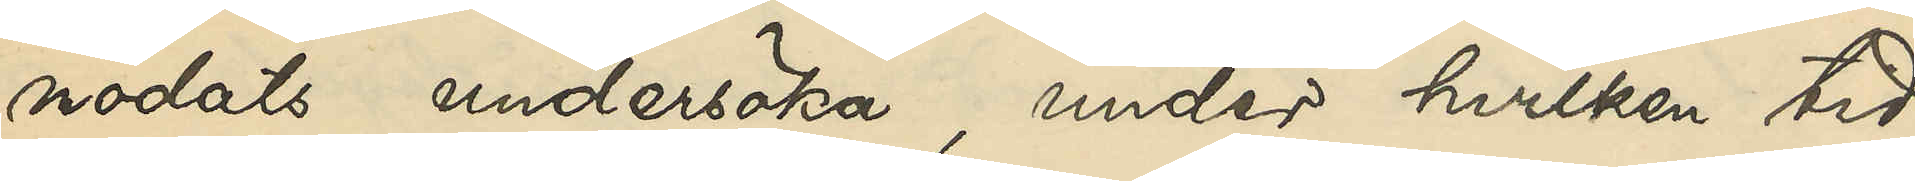modats undersöka, under hvilken tid
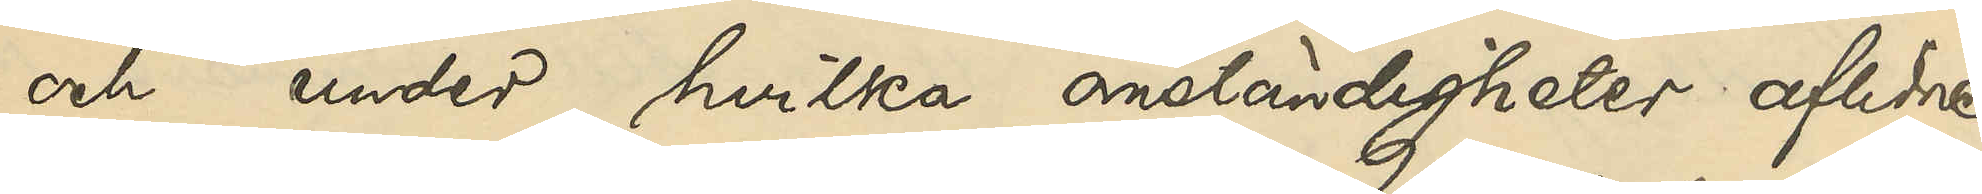och under hvilka omständigheter aflidne
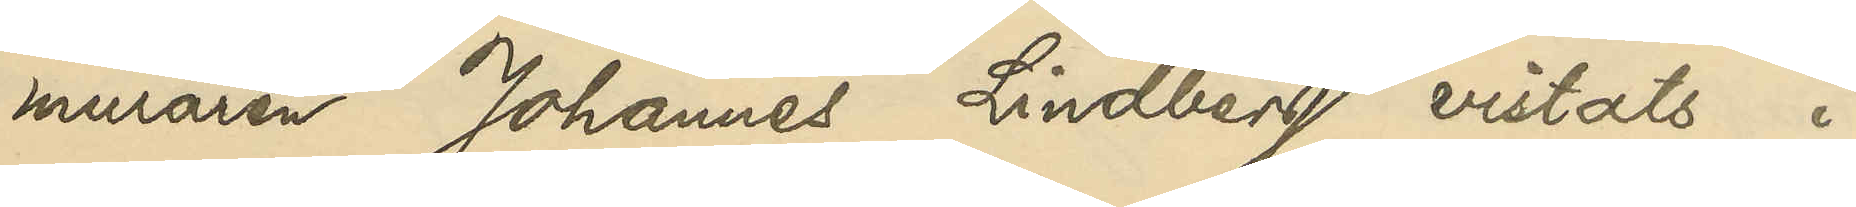muraren Johannes Lindberg vistats i
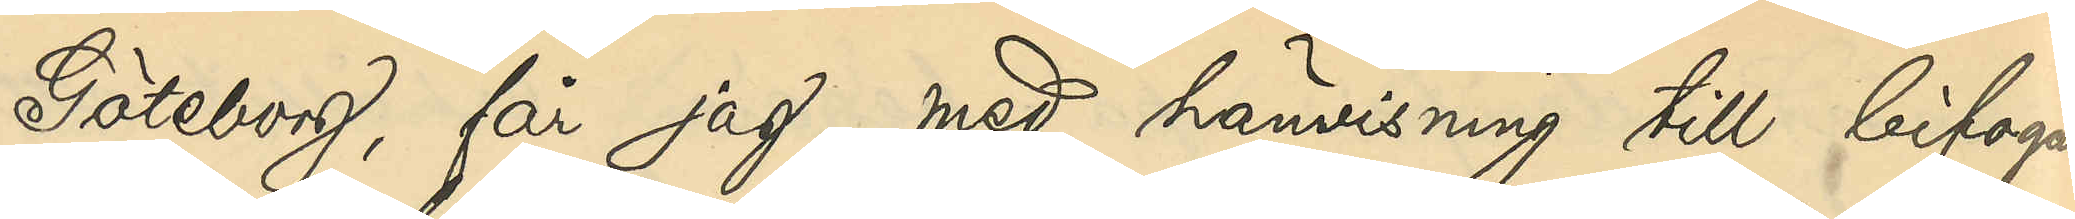Göteborg, får jag med hänvisning till bifogade
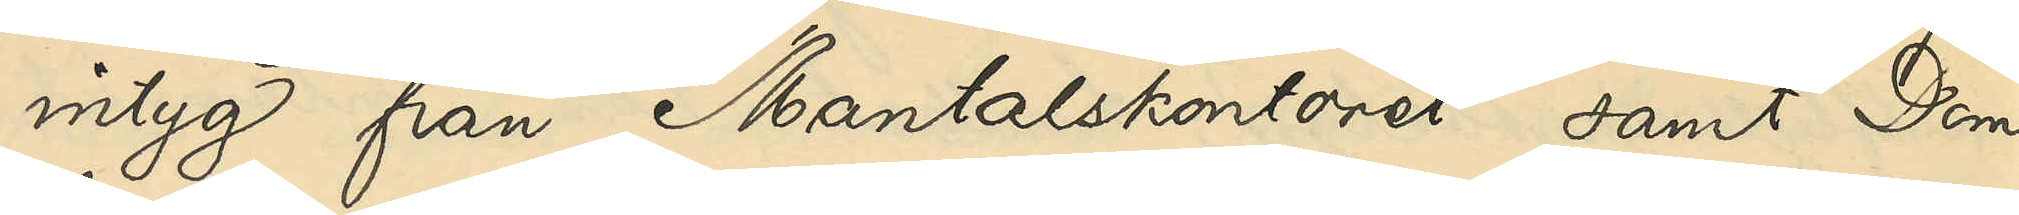intyg från Mantalskontoret samt Dom¬
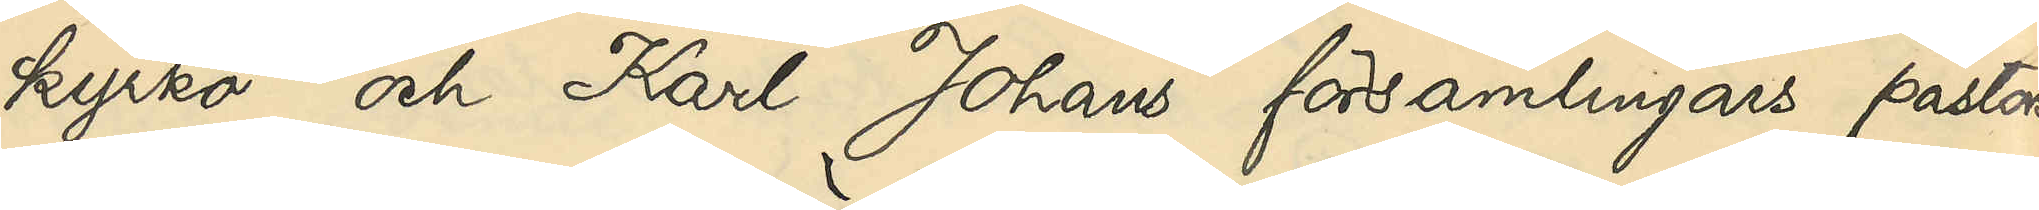kyrko och Karl Johans församlingars pastors¬
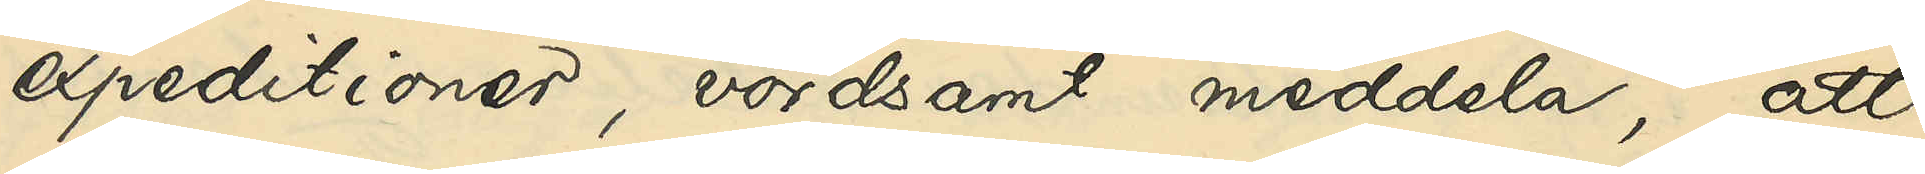expedtioner, vördsamt meddela, att
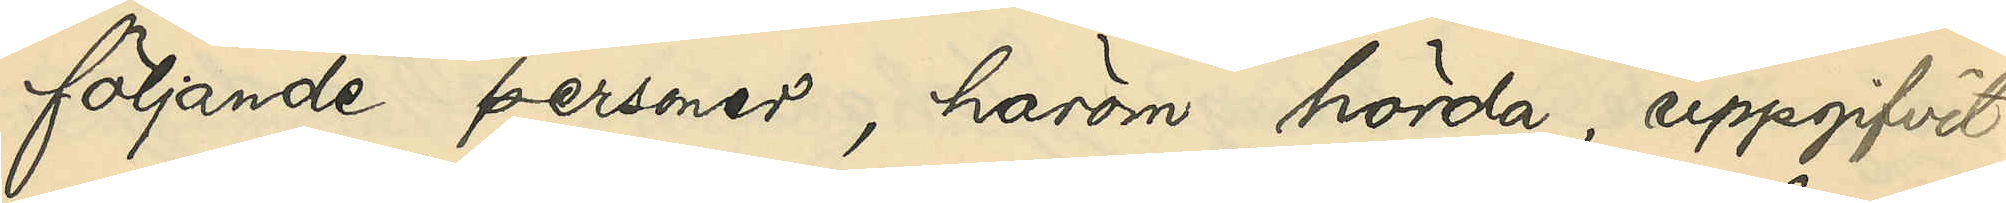följande personer, härom hörda, uppgifvit:
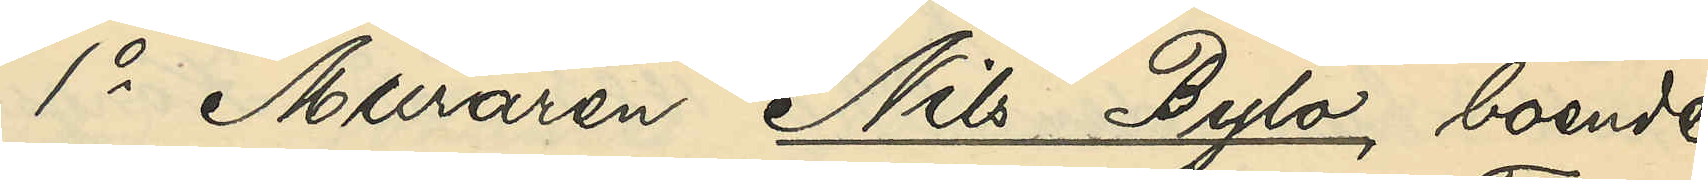1o Muraren Nils Bylo, boende
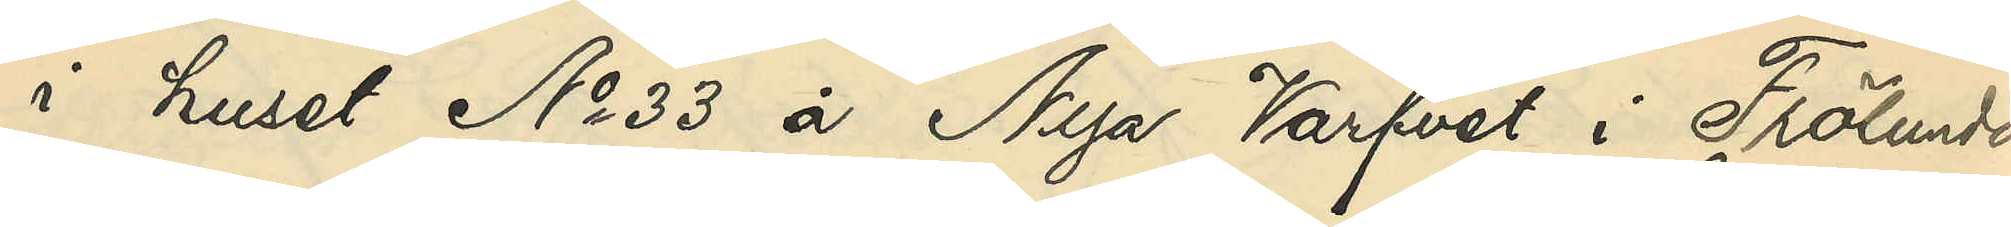i huset No 33 å Nya Varfvet i Frölunda
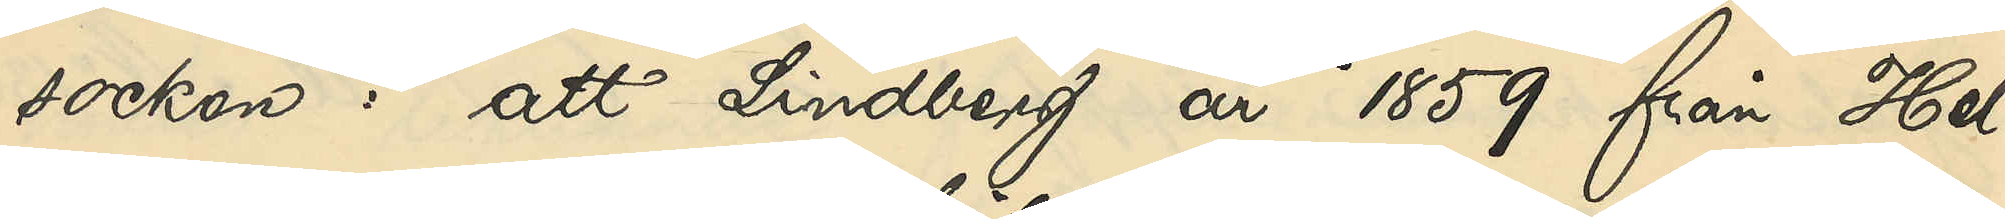socken: att Lindberg år 1859 från Hel¬
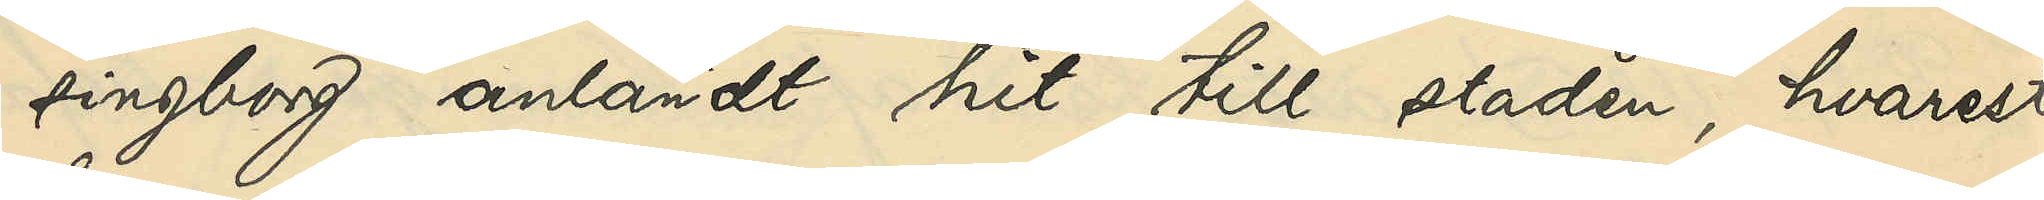singborg anländt hit till staden, hvarest
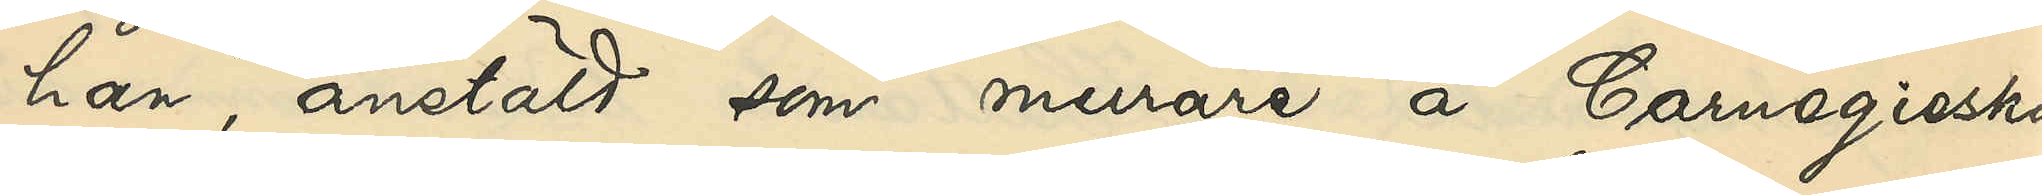han, anstäld som murare å Carnegieska
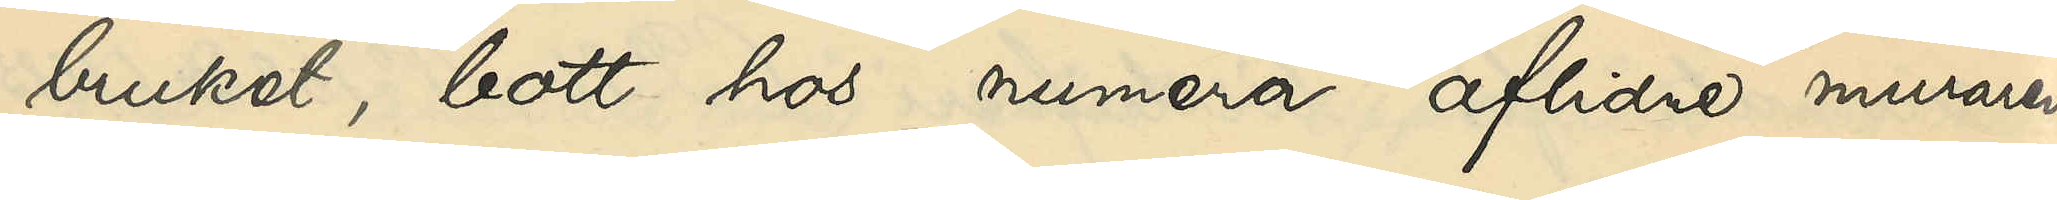bruket, bott hos numera aflidna muraren
